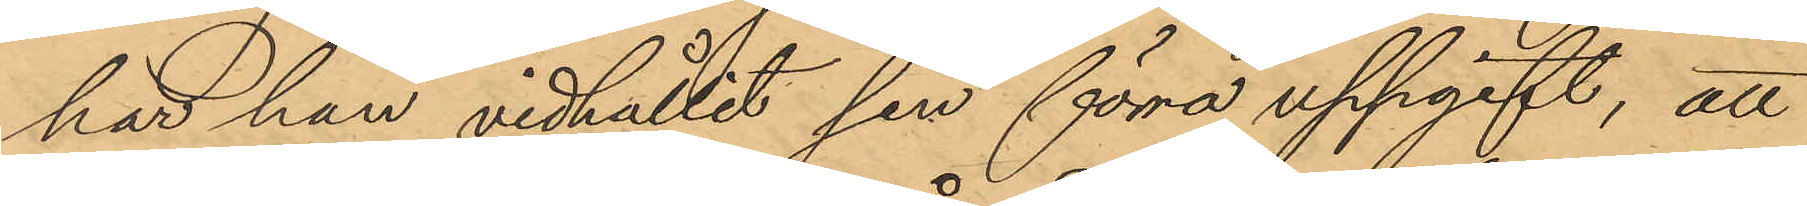har han vidhållit sin förra uppgift, att
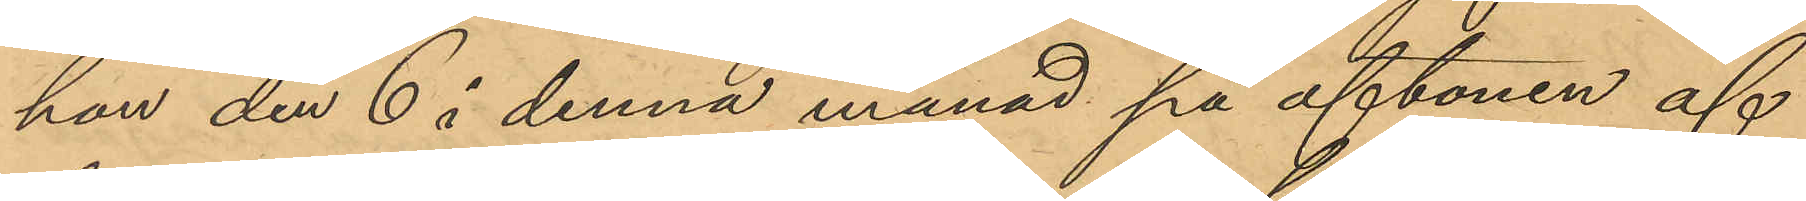han den 6 i denna månad på aftonen af
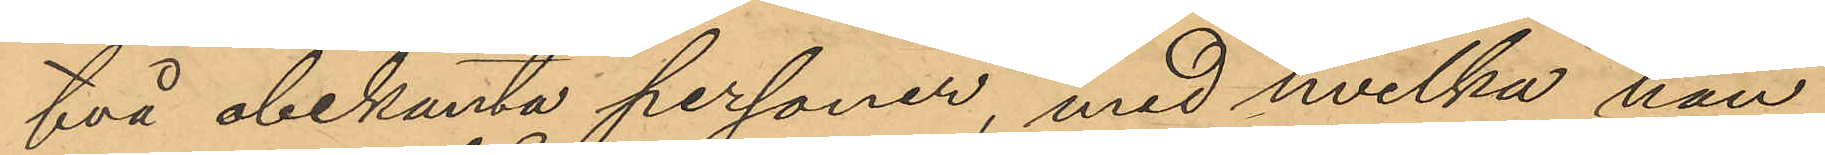två obekanta personer, med hvilka han
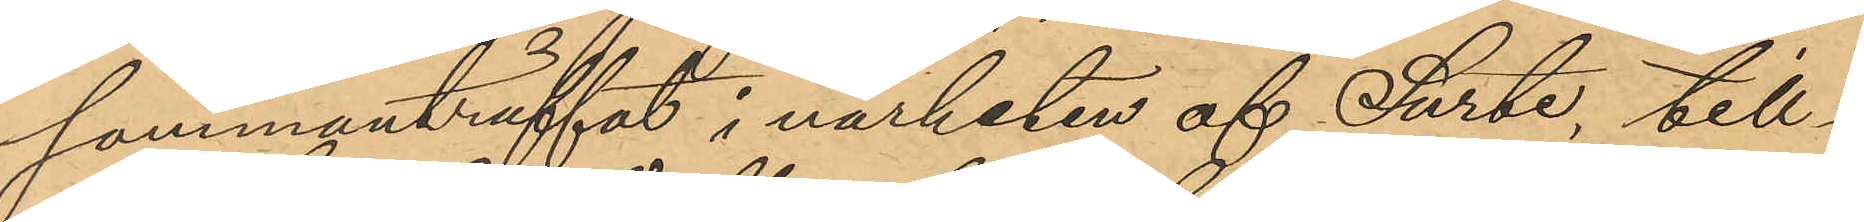sammanträffat i närheten af Surte, till¬
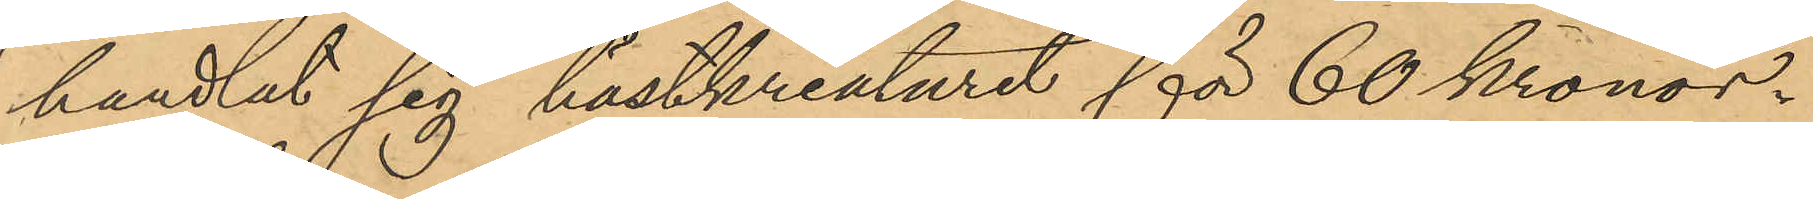handlat sig hästkreaturet för 60 Kronor.
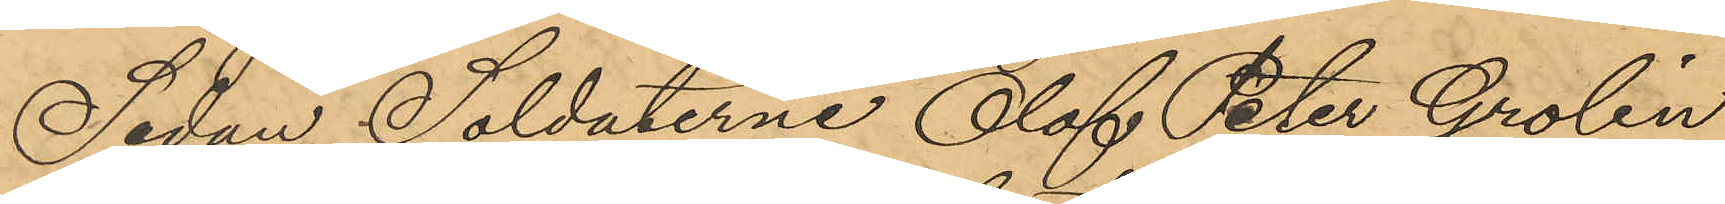Sedan Soldaterne Olof Peter Grolin
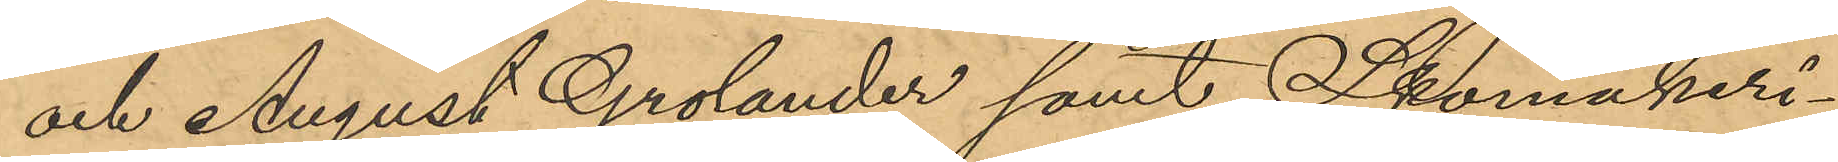och August Grolander samt Skomakeri¬
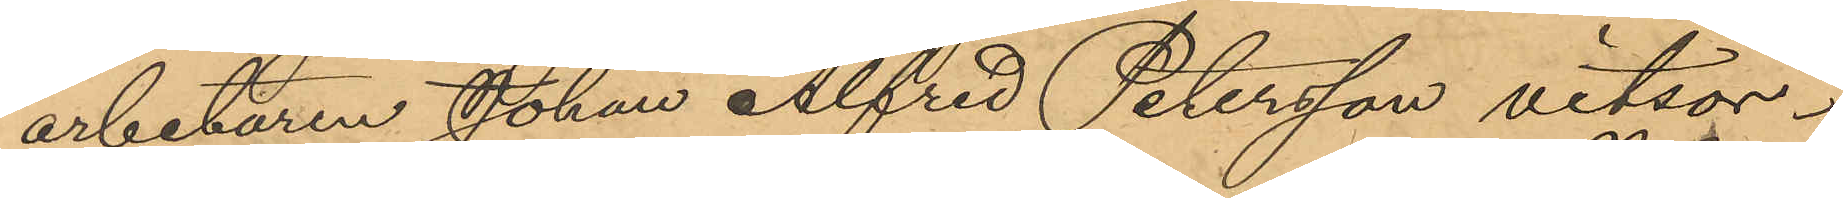arbetaren Johan Alfred Petersson vitsor¬
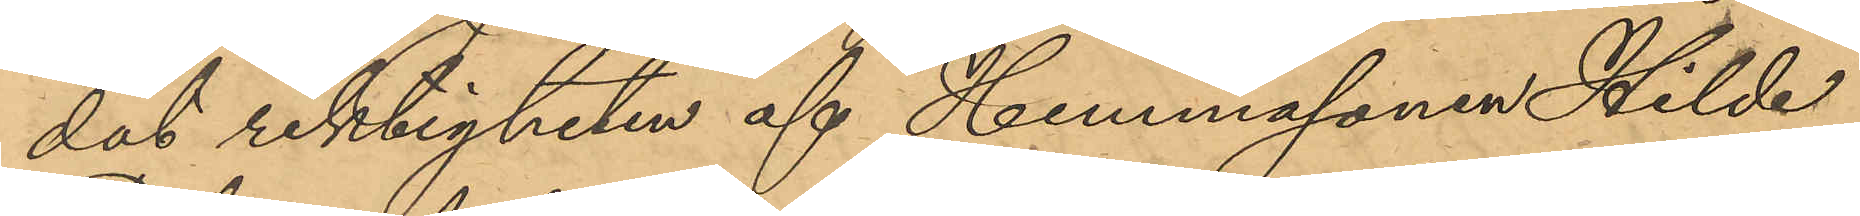dat riktigheten af Hemmasonen Hilde
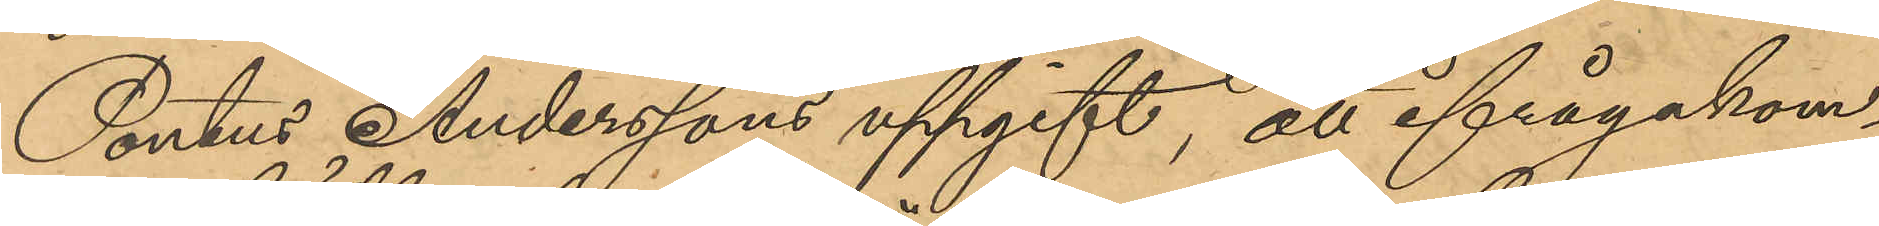Pontus Anderssons uppgift, att ifrågakom¬
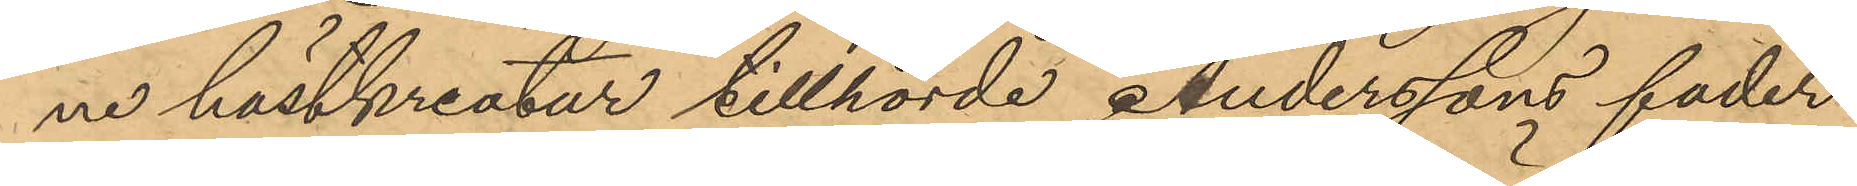ne hästkreatur tillhörde Anderssons fader
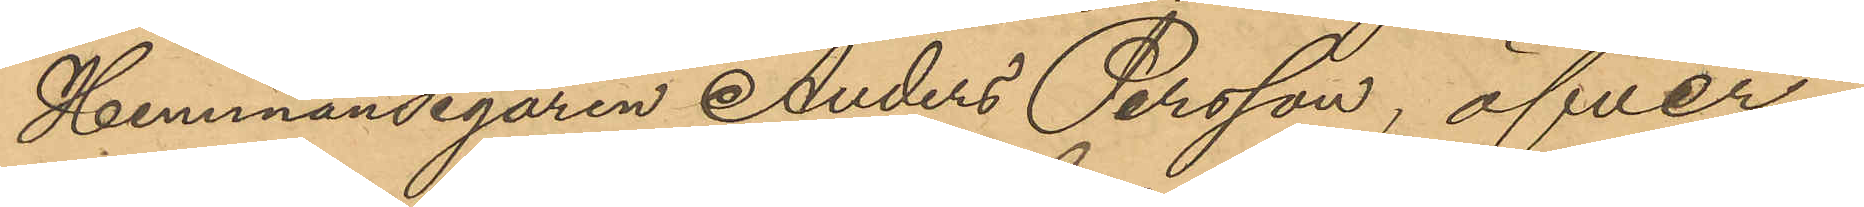Hemmansegaren Anders Persson, öfver¬
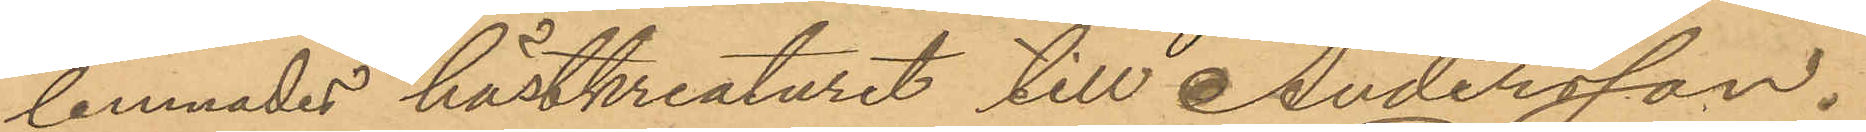lemnades hästkreaturet till Andersson.
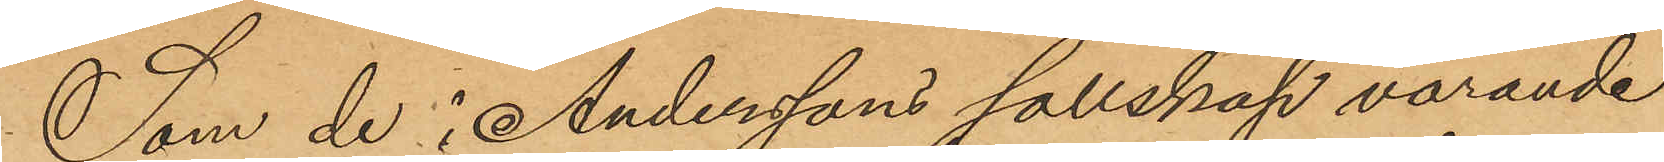Som de i Anderssons sällskap varande
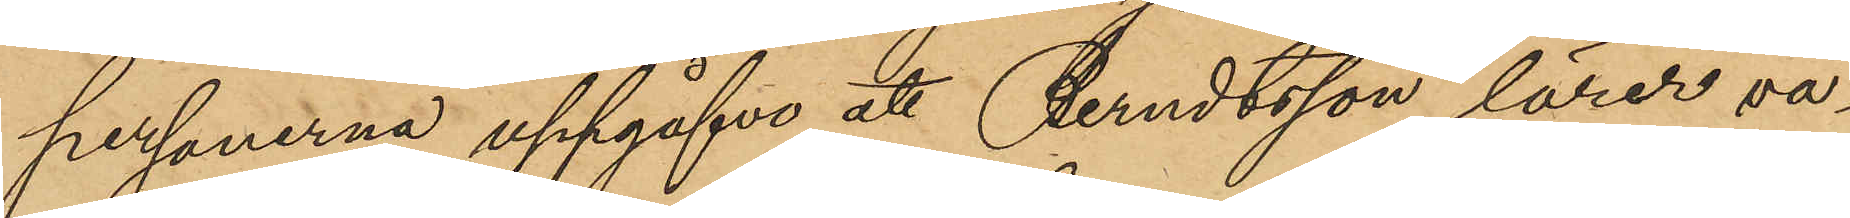personerna uppgåfvo att Berndtsson lärer va¬
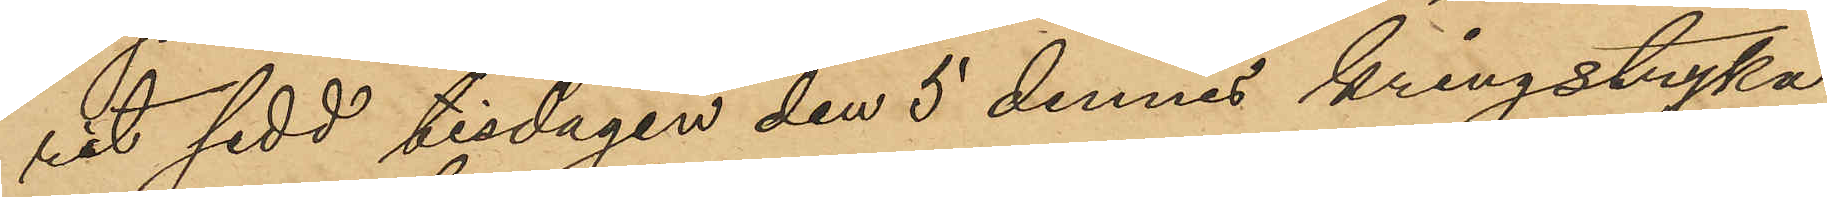rit sedd tisdagen den 5 dennes kringstryka
